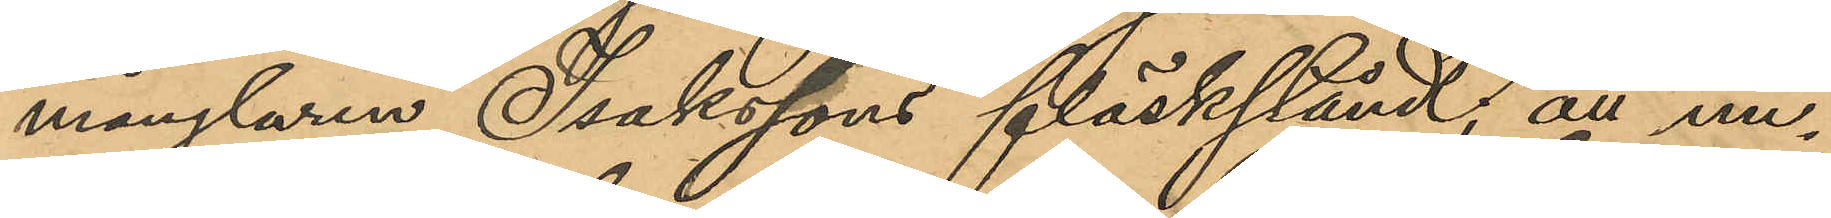månglaren Isakssons fläskstånd; att un¬
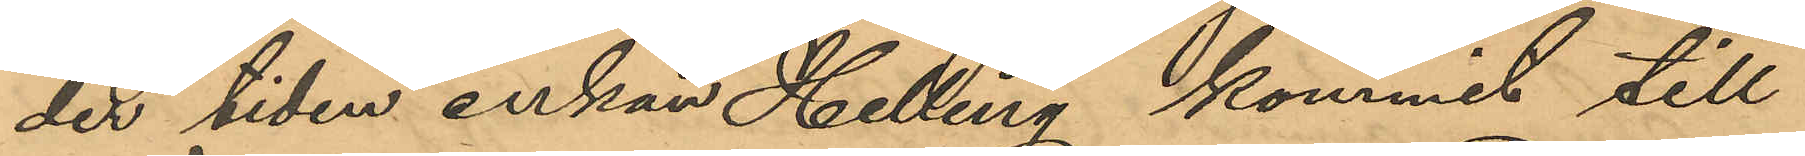der tiden enkan Helling kommit till
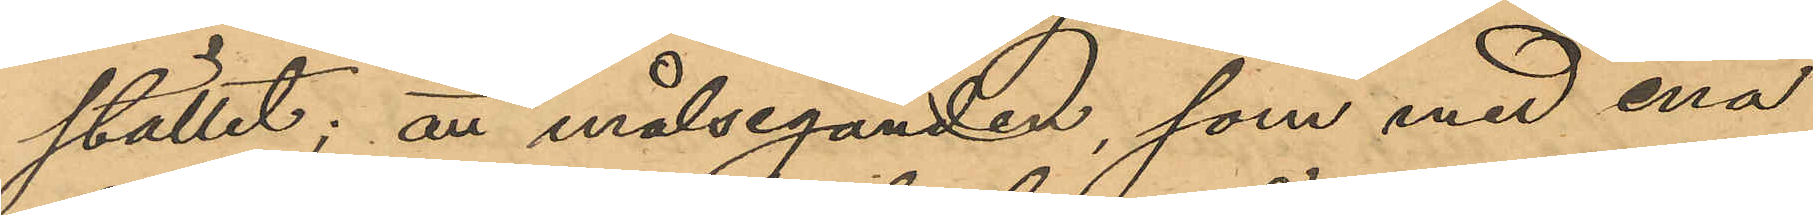stället; att målseganden, som med ena
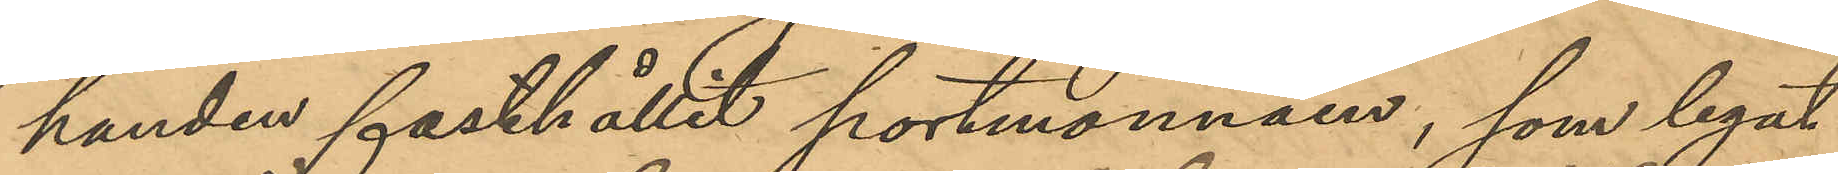handen fasthållit portmonnäen, som legat
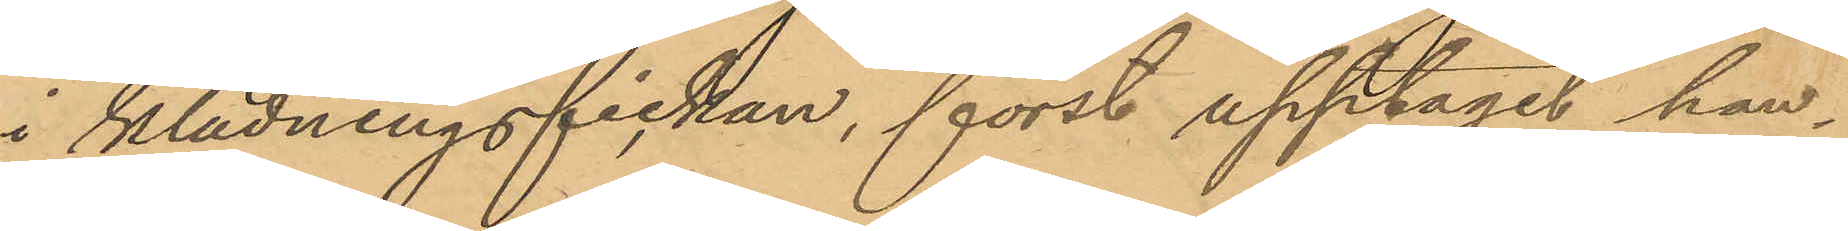i klädningsfickan, först upptagit han¬
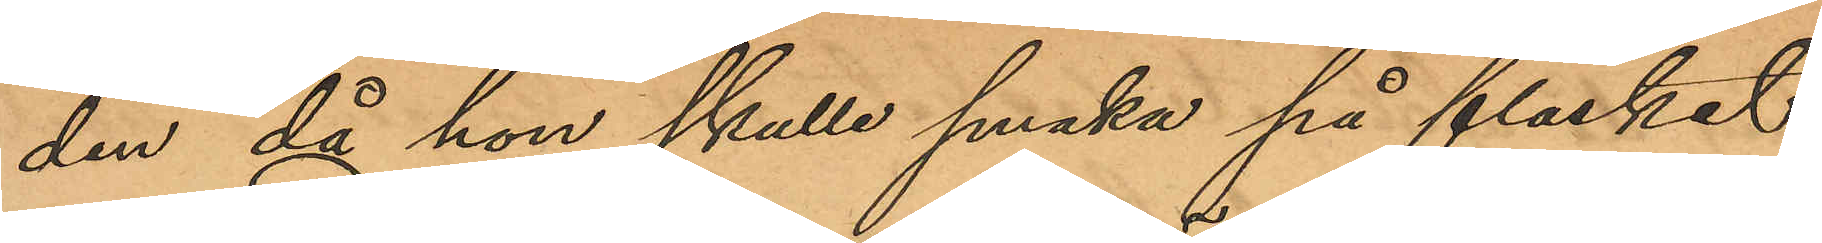den, då hon skulle smaka på fläsket;
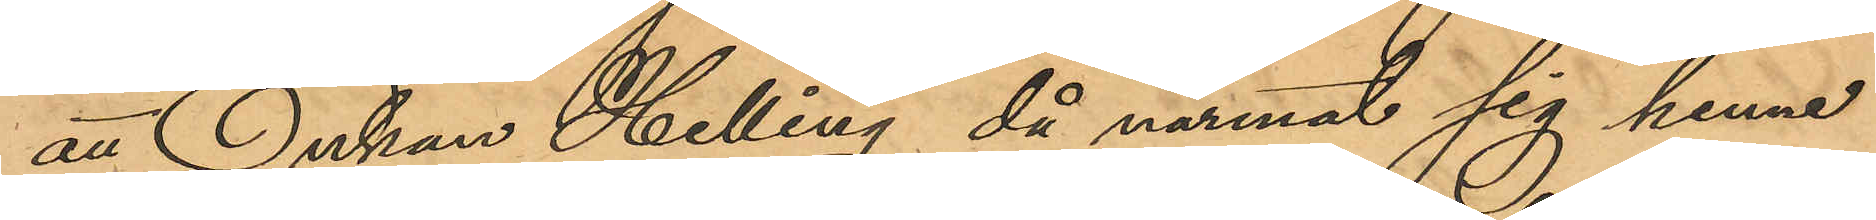att Enkan Helling då närmat sig henne
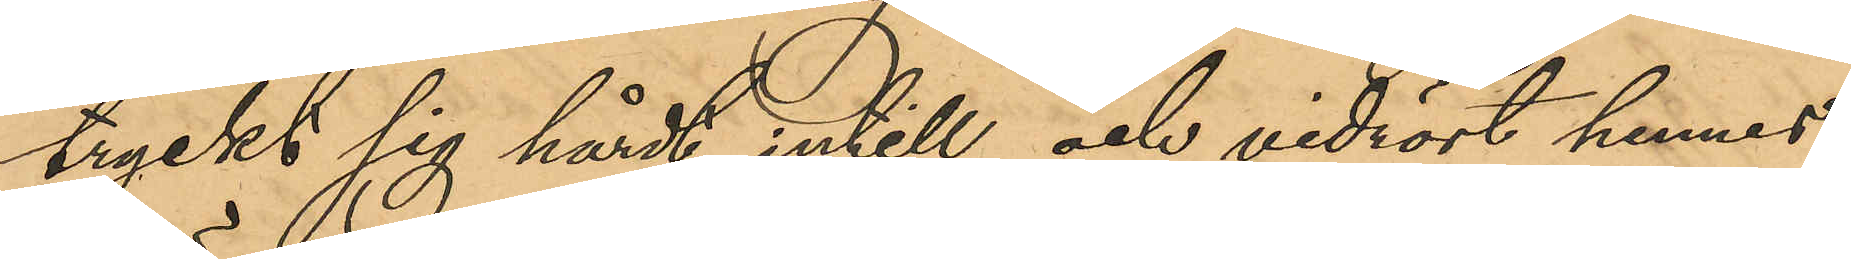tryckt sig hårdt intill och vidrört hennes
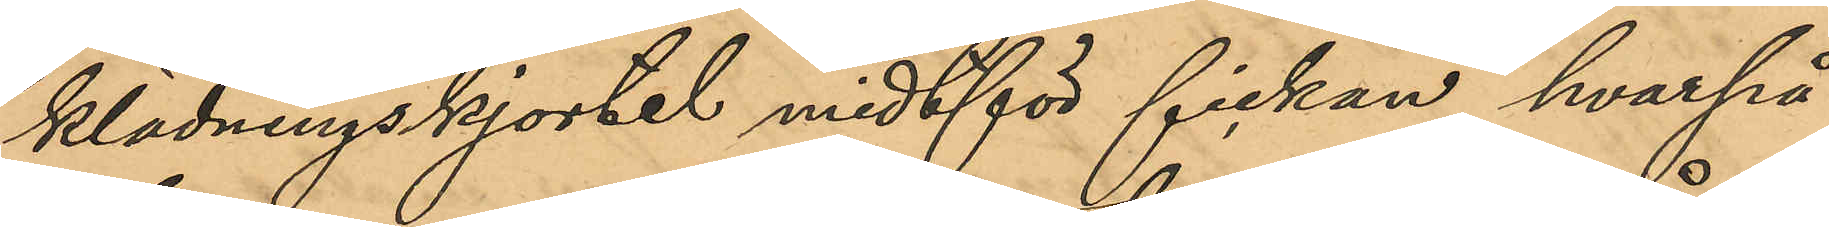klädningskjortel midtför fickan hvarpå
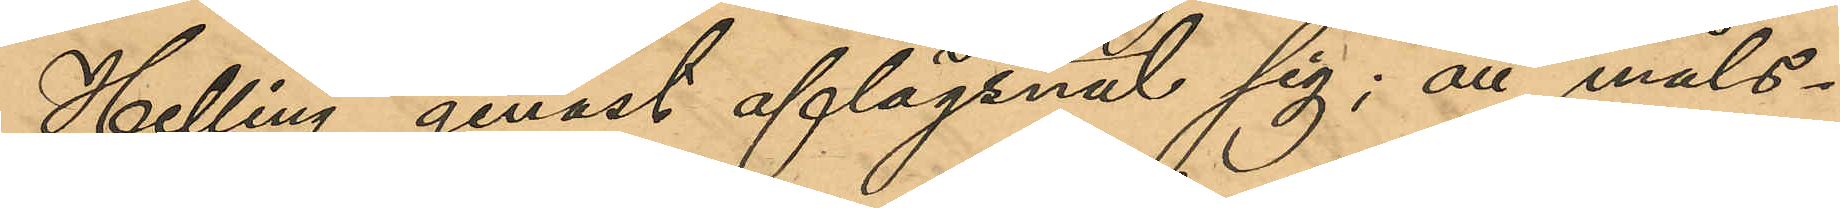Helling genast aflägsnat sig; att måls¬
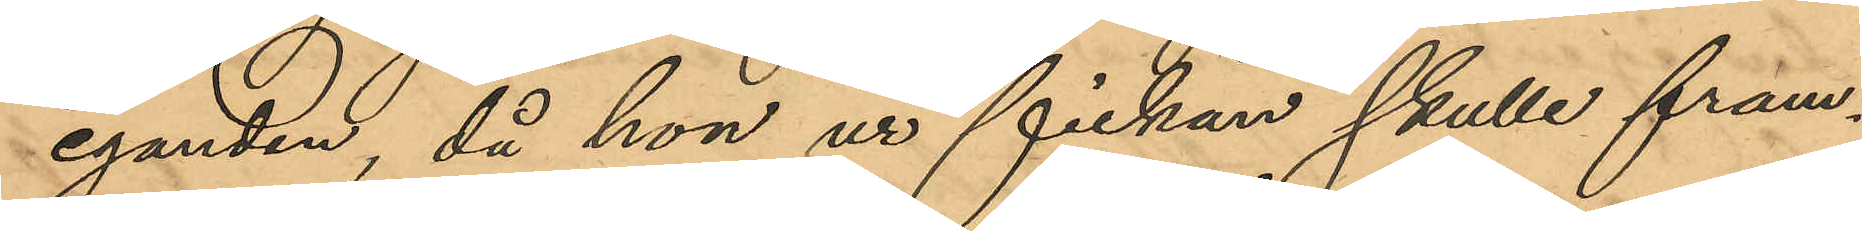eganden, då hon ur fickan skulle fram¬
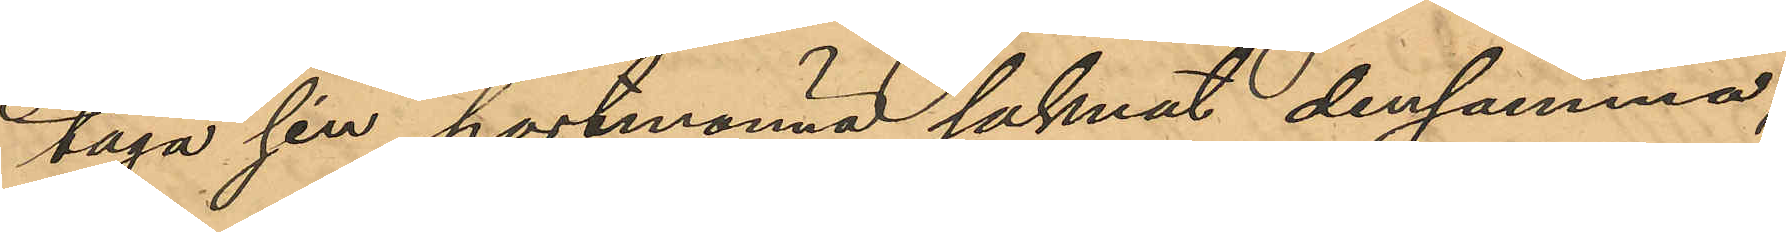taga sin portmonnä saknat densamma,
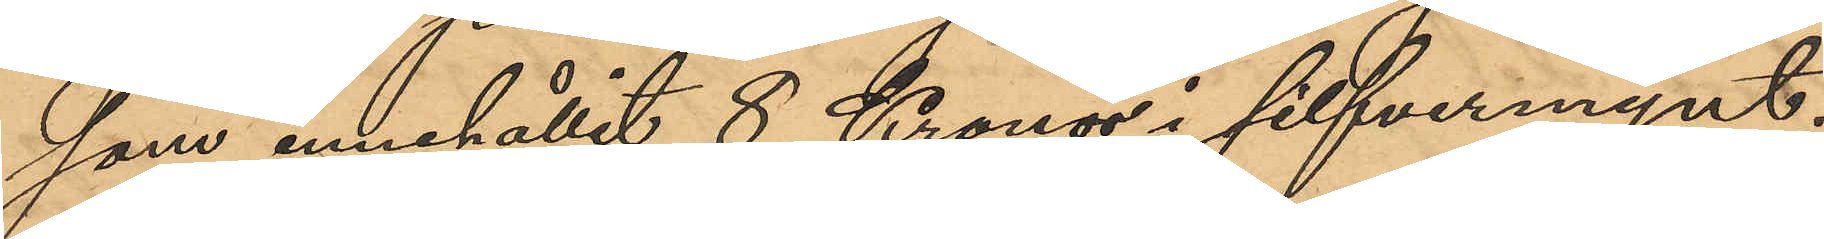som innehållit 8 Kronor i silfvermynt;
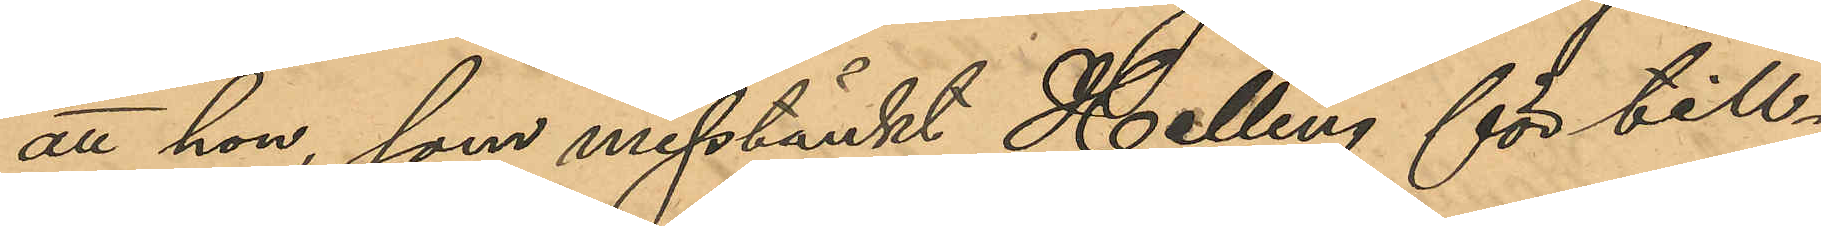att hon, som misstänkt Helling för till¬
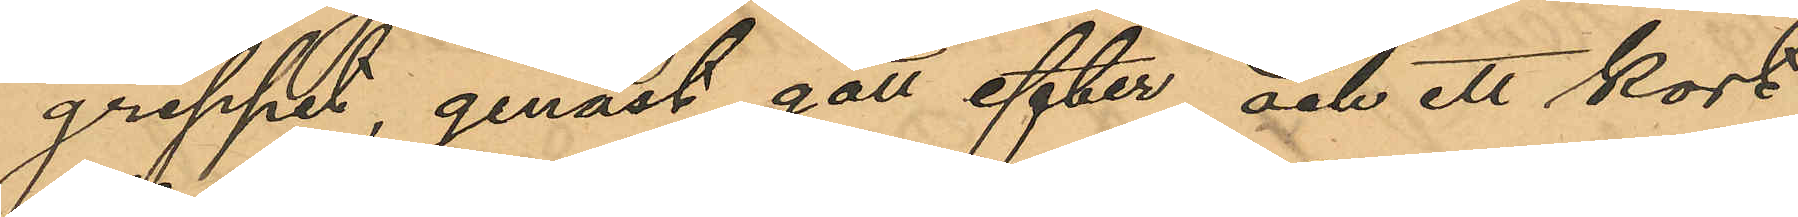greppet, genast gått efter och ett kort
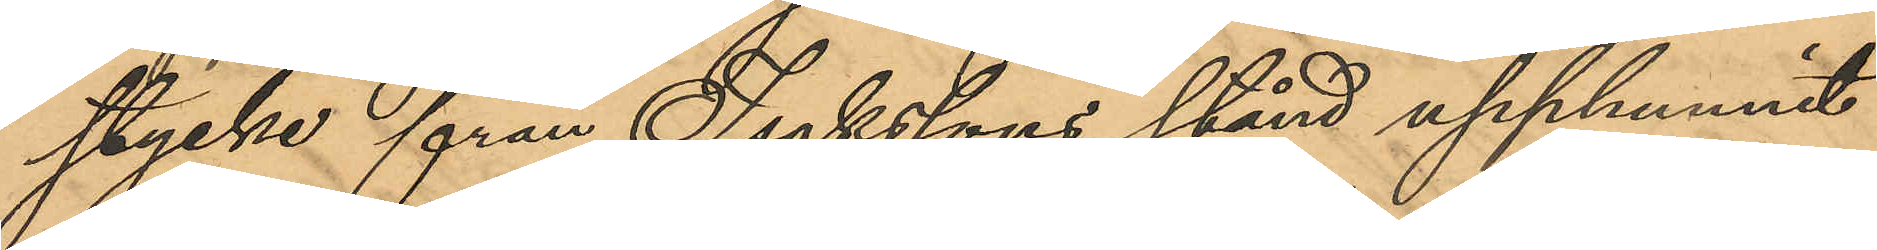stycke från Isakssons stånd upphunnit
